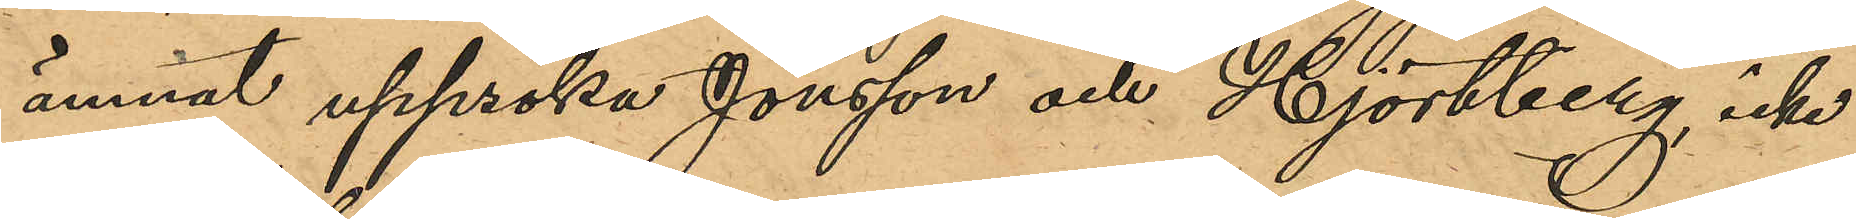ämnat uppsöka Jönsson och Hjortberg, icke
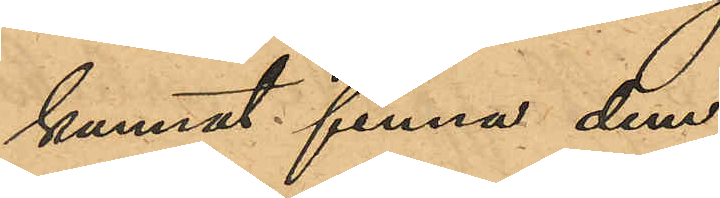kunnat finna dem.
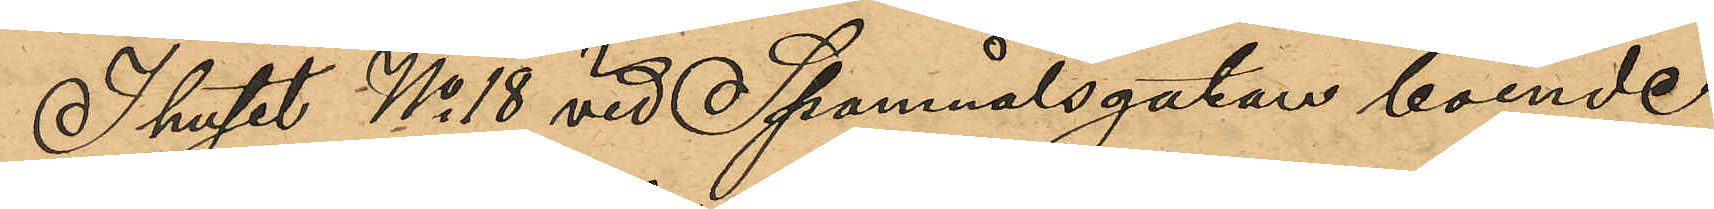I huset No 18 vid Spannmålsgatan boende
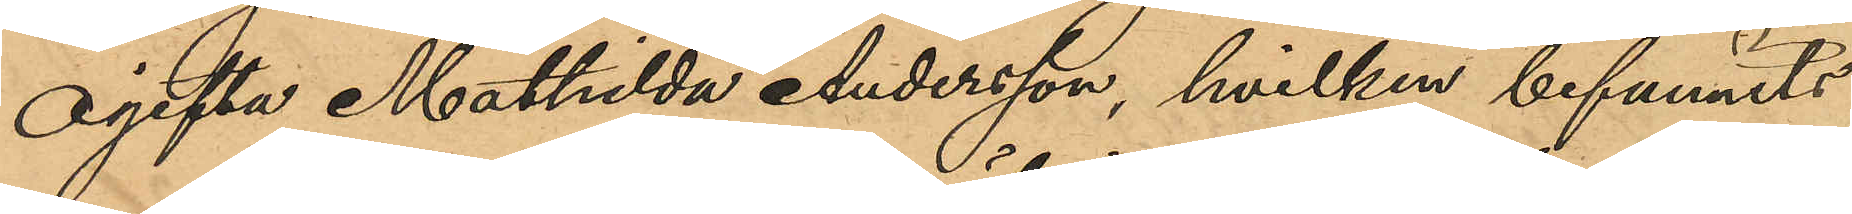ogifta Mathilda Andersson, hvilken befunnits
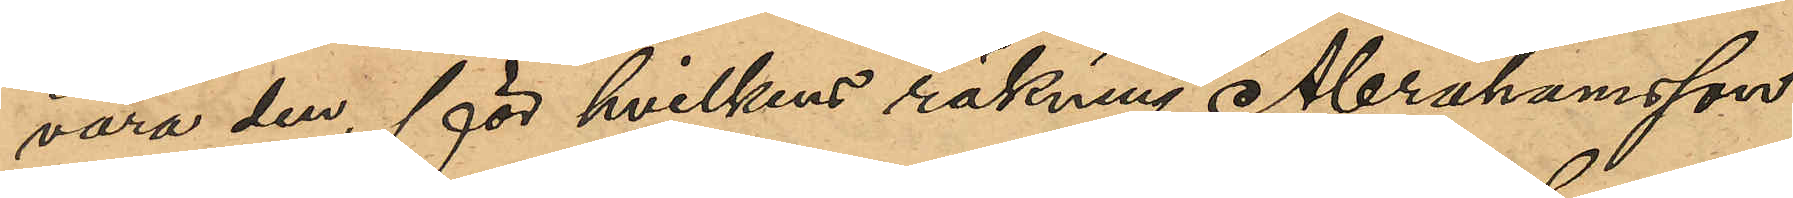vara den, för hvilkens räkning Abrahamsson
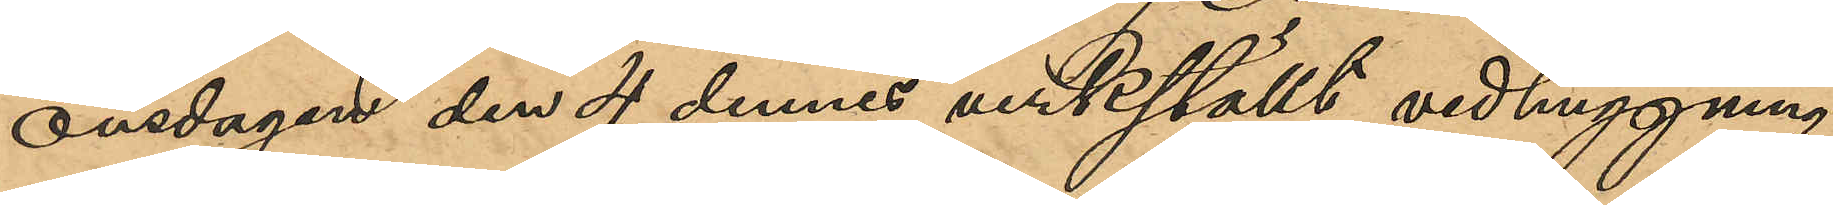onsdagen den 4 dennes verkställt vedhuggning
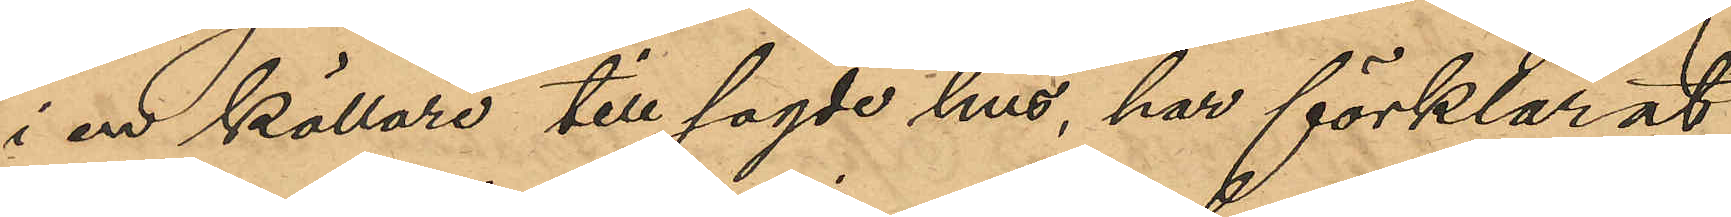i en källare till sagde hus, har förklarat,
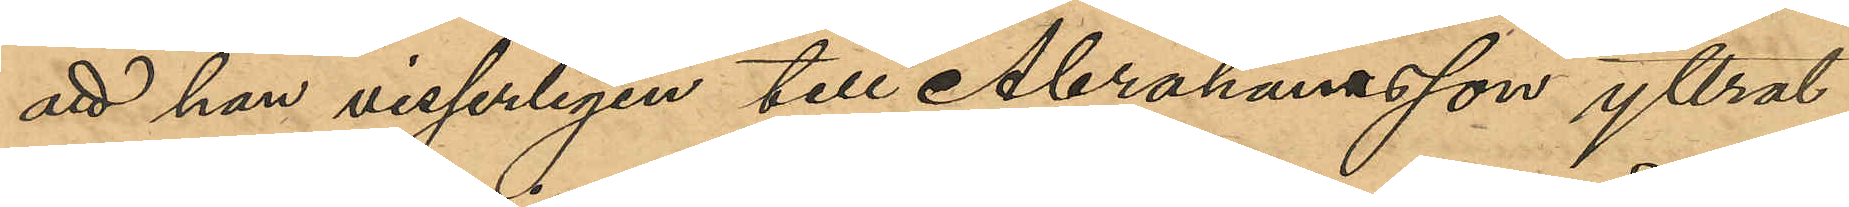att hon visserligen till Abrahamsson yttrat
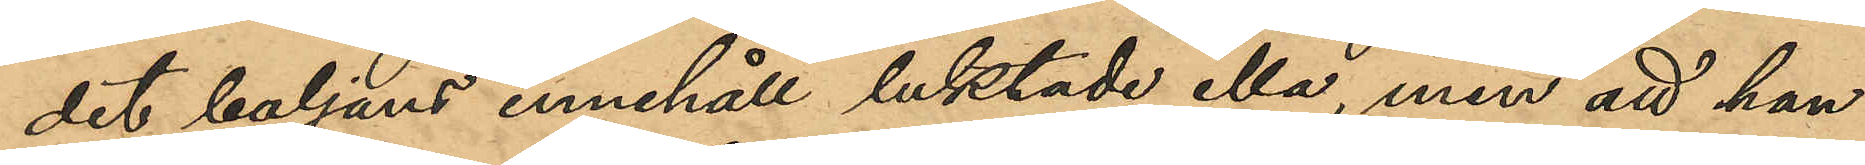det baljans innehåll luktade illa, men att hon
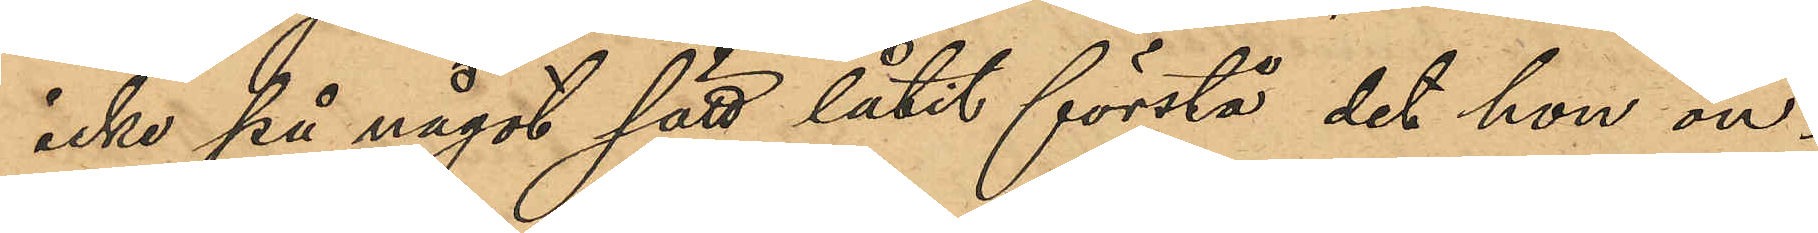icke på något sätt låtit förstå det hon ön¬
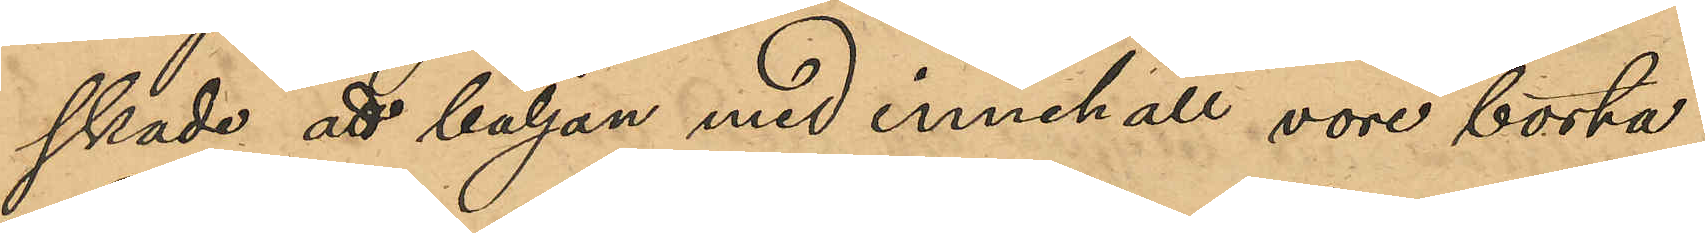skade att baljan med innehåll vore borta.
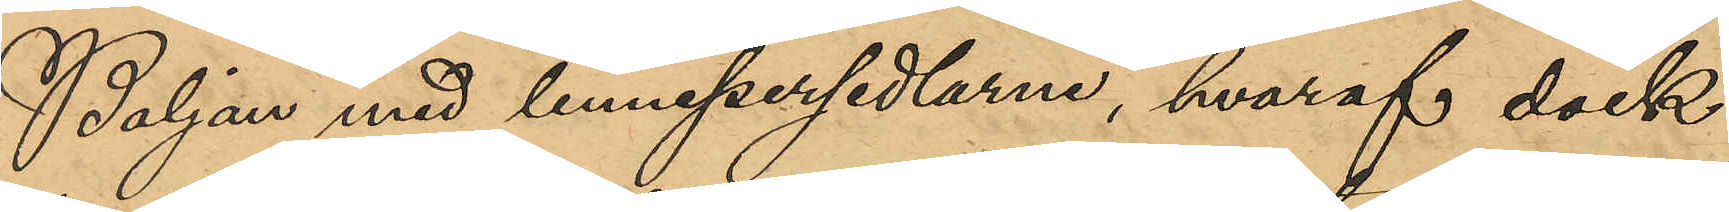Baljan med linnepersedlar, hvaraf dock
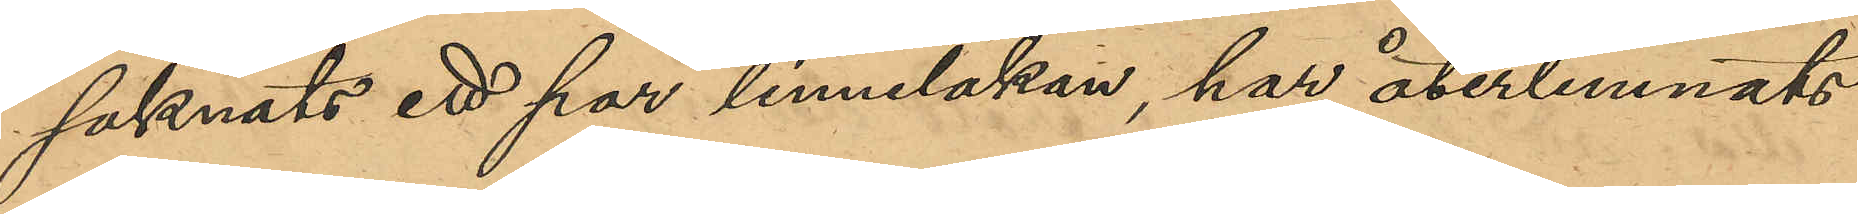saknats ett par linnelakan, har återlemnats
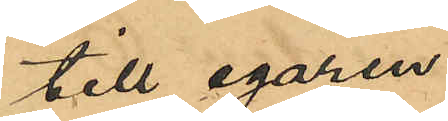till egaren.
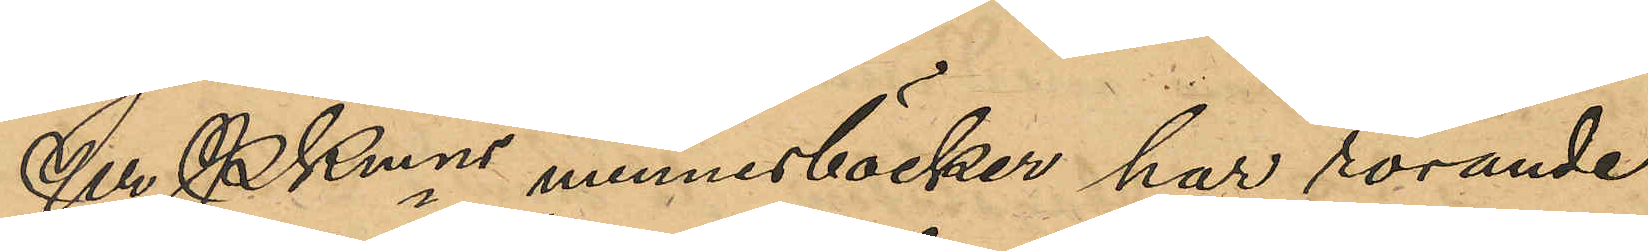Ur Pkmns minnesböcker har rörande
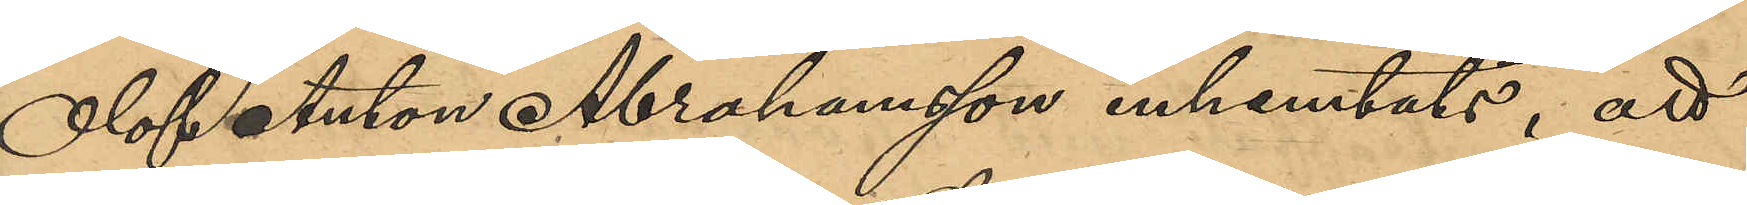Olof Anton Abrahamsson inhemtats, att
